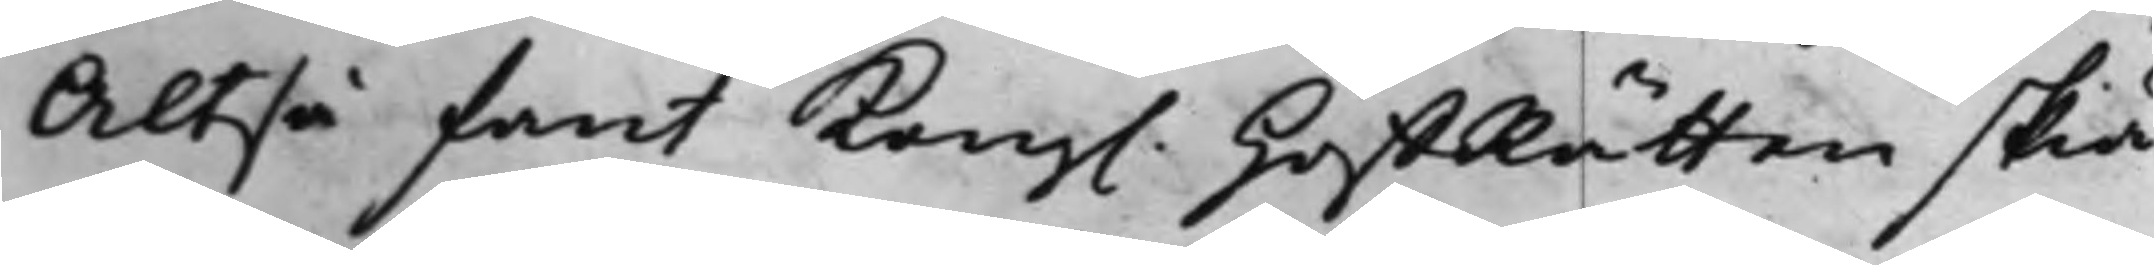Altså fant Kong. HoffRätten skiä¬
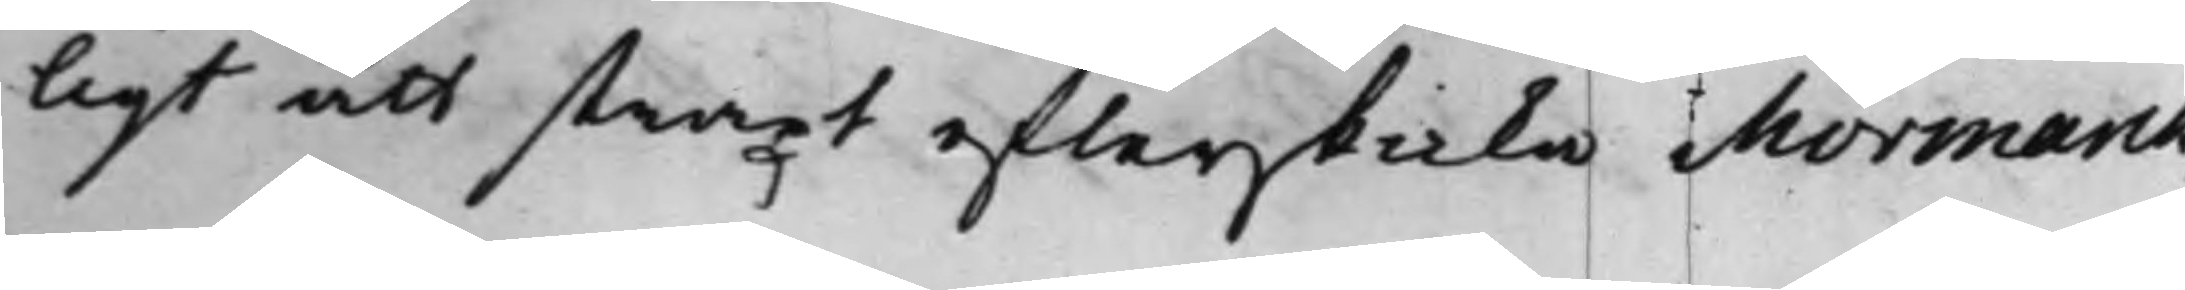ligt att straxt efterskicka Mormarck.
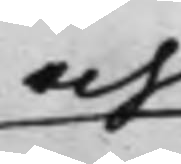och
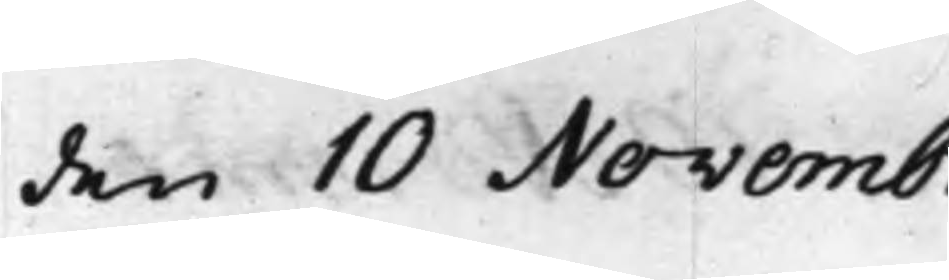den 10 Novembr.
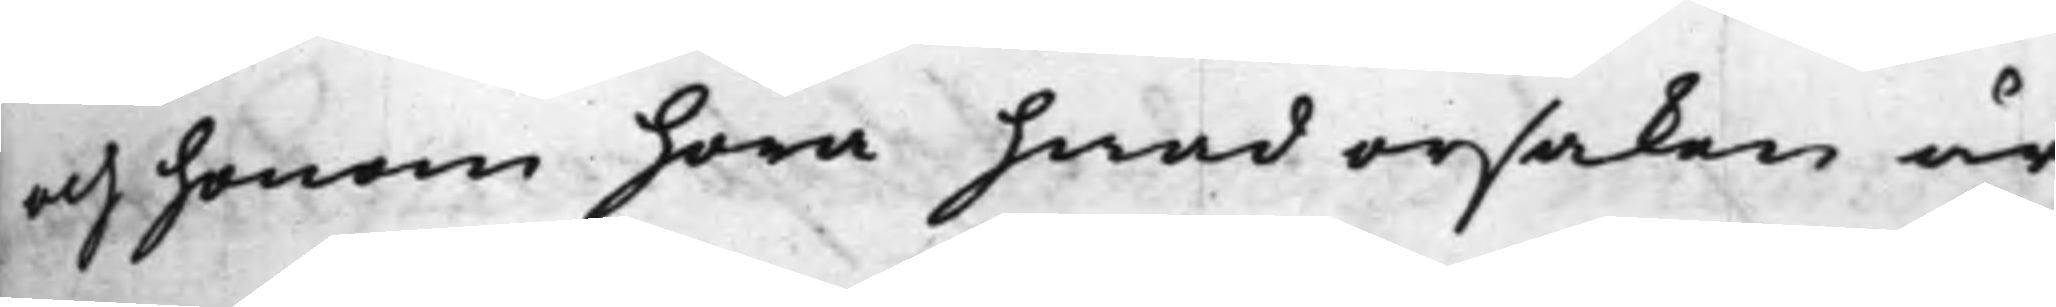och honom höra hwad orsaken är,
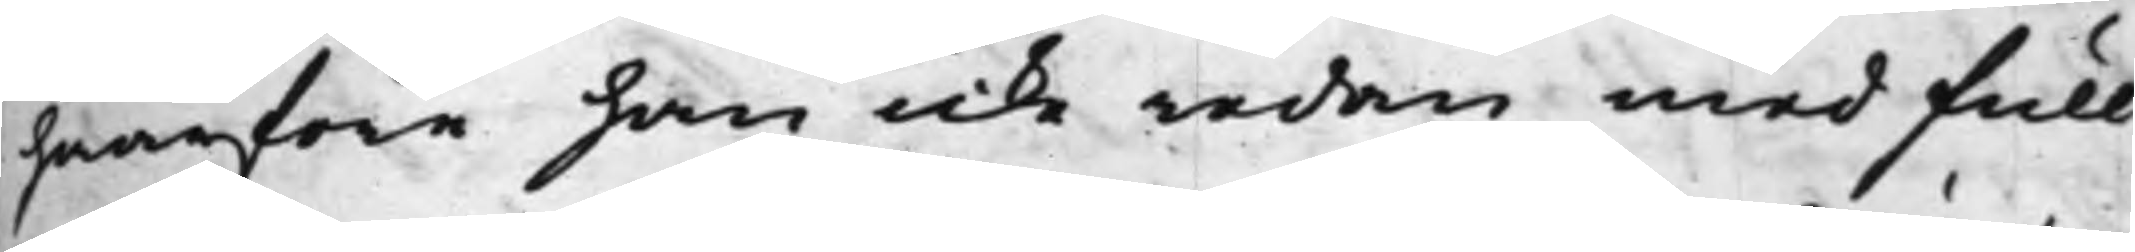hwarföre han icke redan med full¬
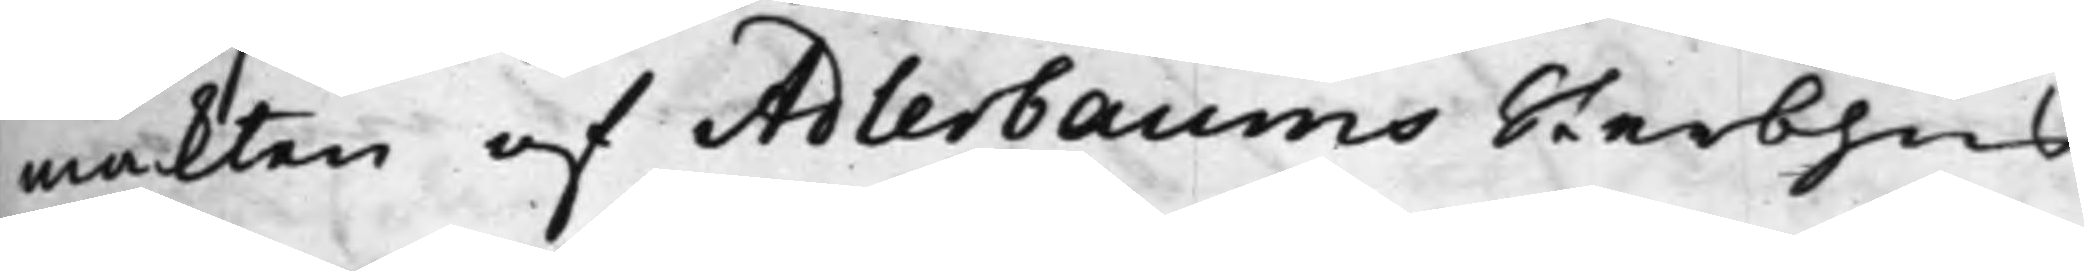mackten af Adlerbaums Sterbhus
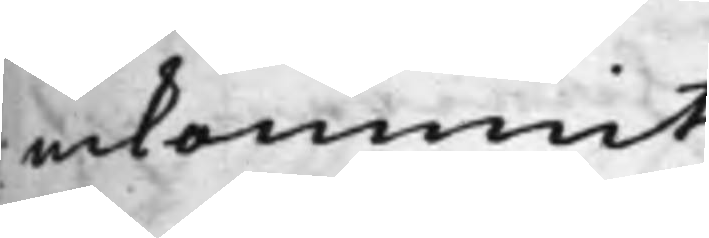inkommit.
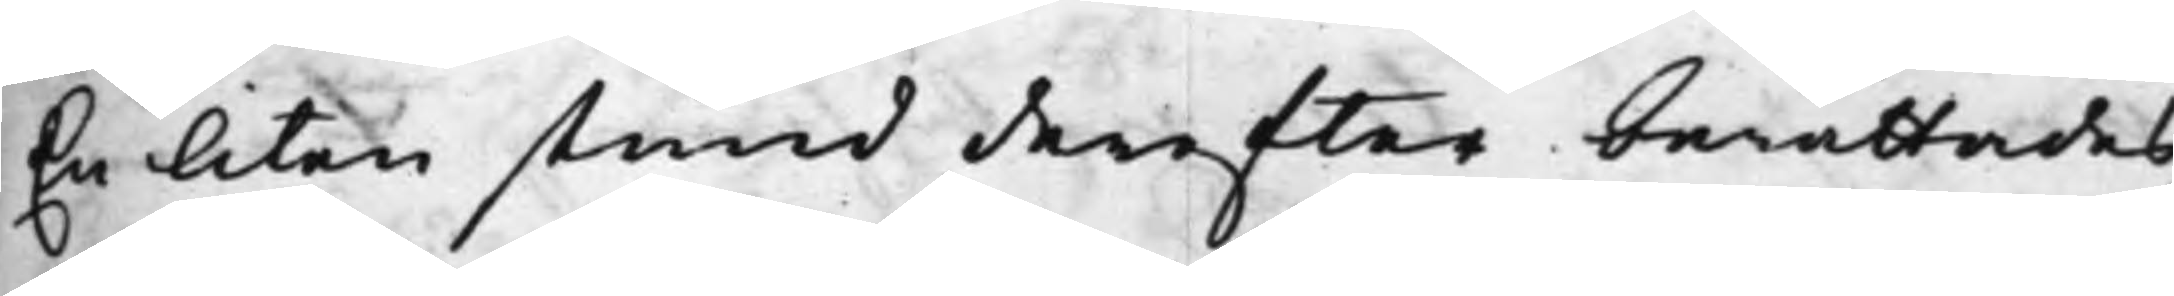En liten stund derefter berättades
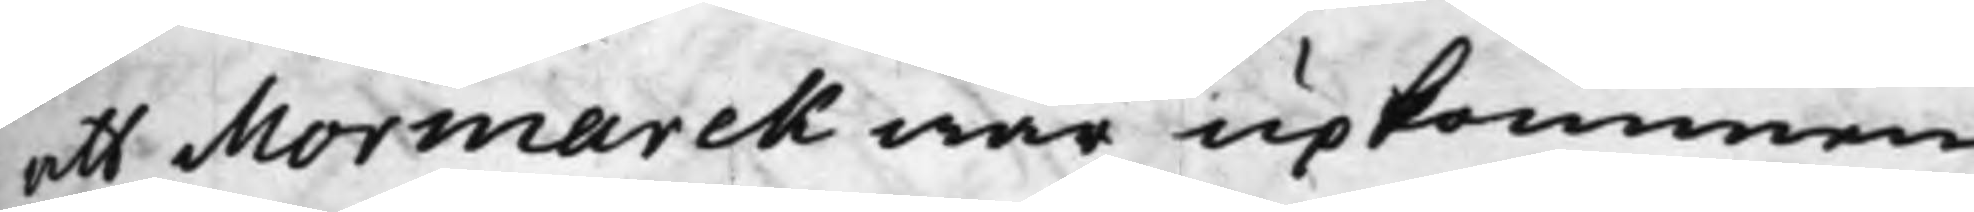att Mormarck war upkommen.
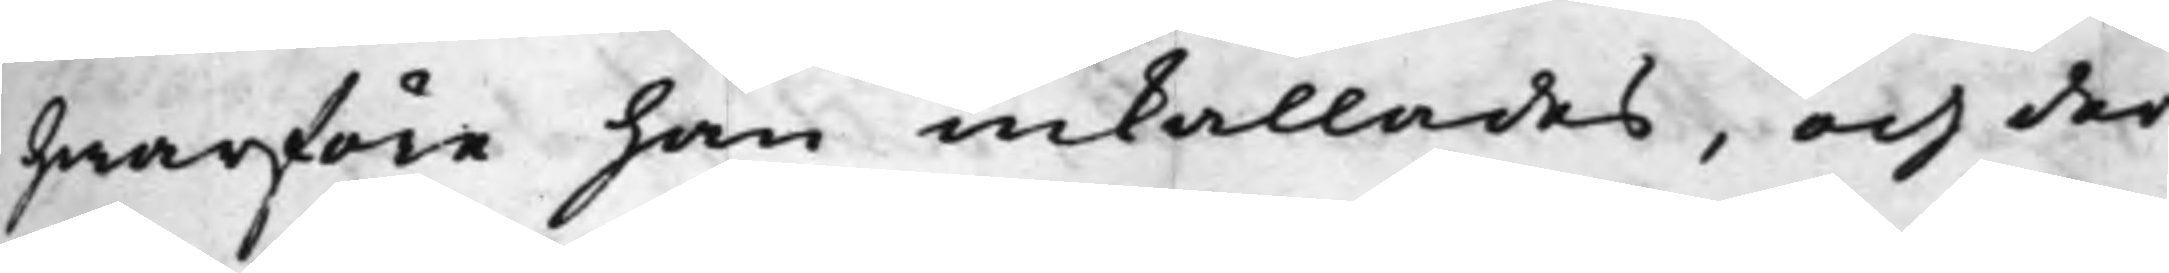hwarföre han inkallades, och der¬
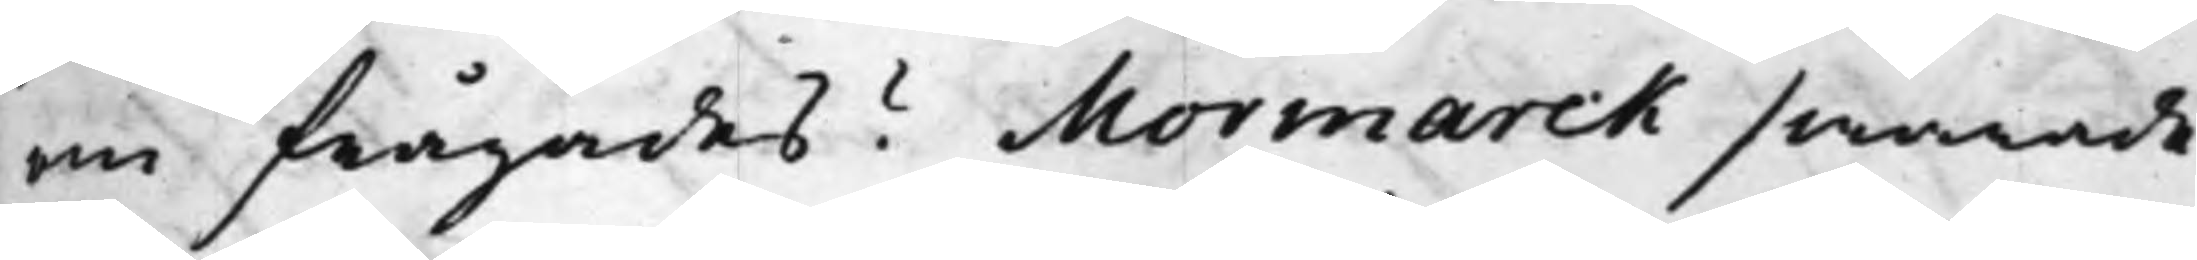om frågades? Mormarck swarade
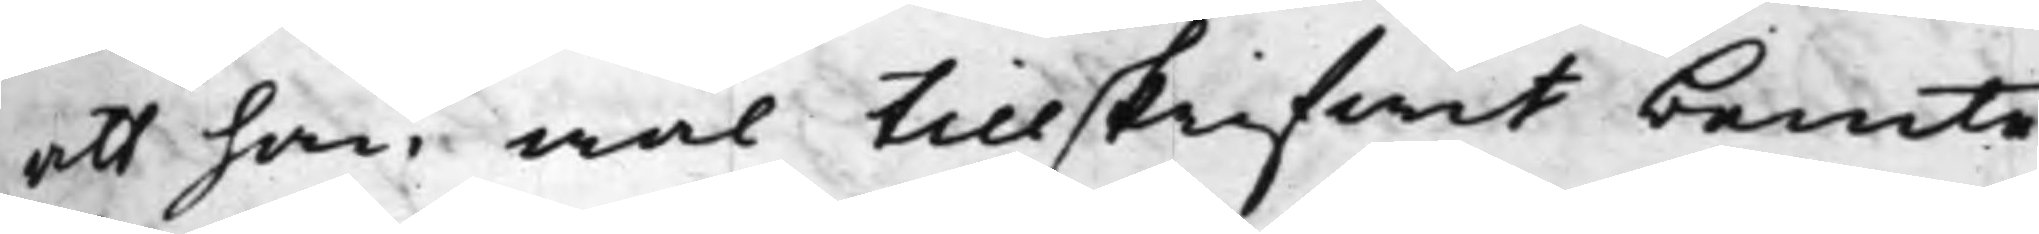att han wäl tillskrifwit bemte
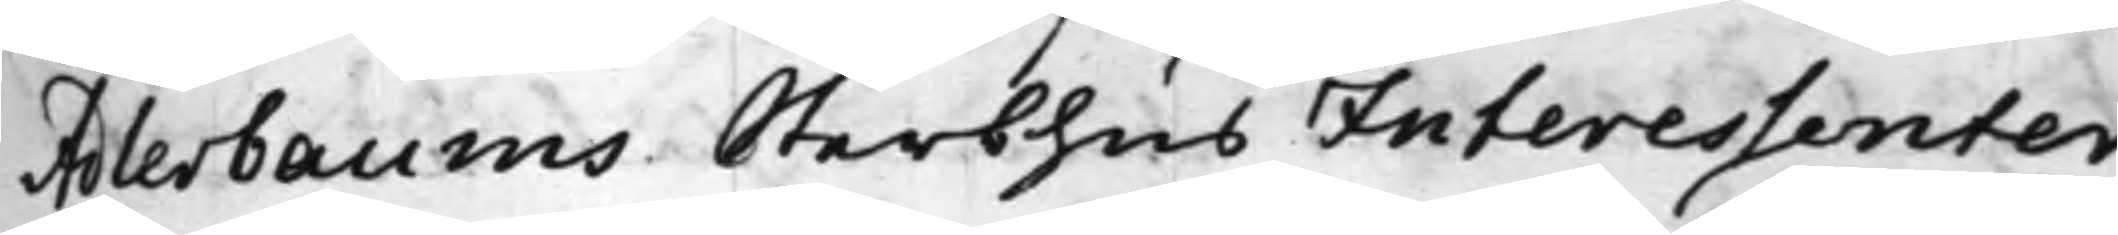Adlerbaums Sterbhus Interessenter
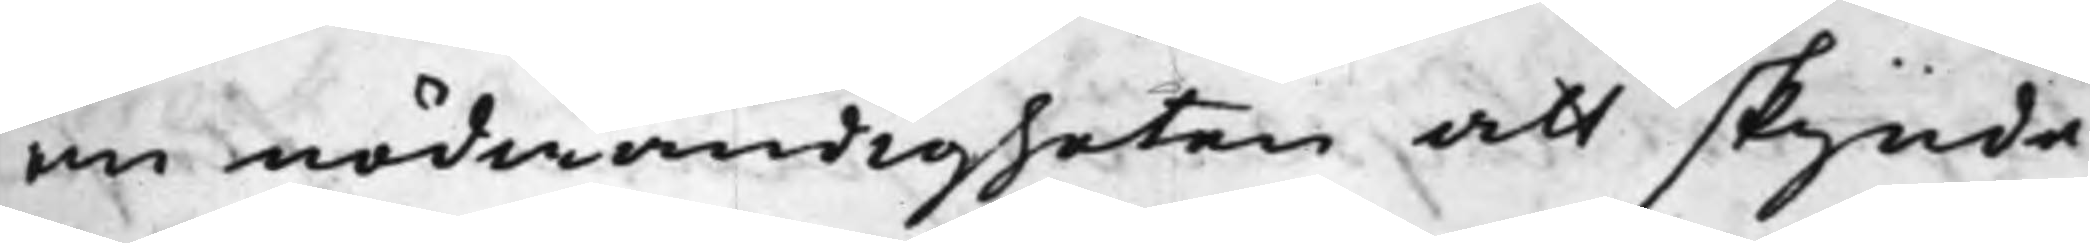om nödwändigheten att skynde¬
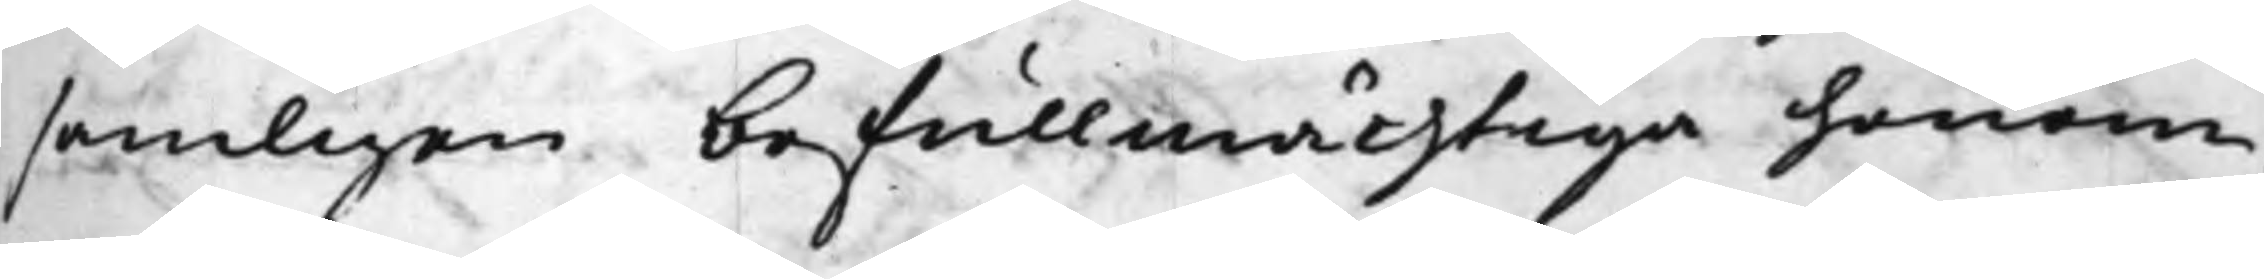samligen befullmächtiga honom,
